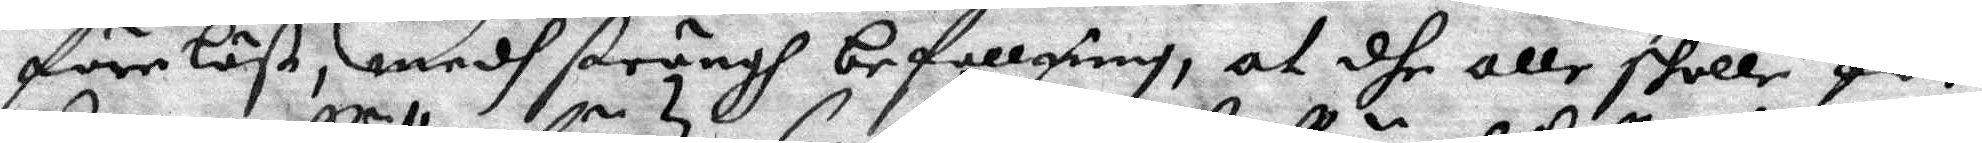föreläst, medh strängh befallning, at dhe alle skulle för
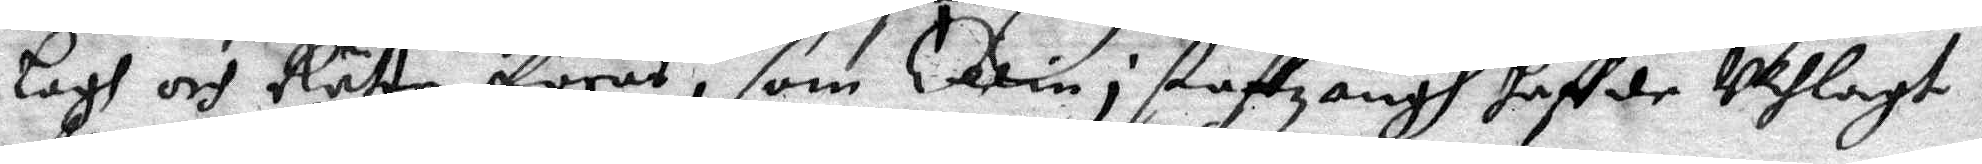Lagh och Rätte föras, som Ellin i staffzängh haffde Uthlagt
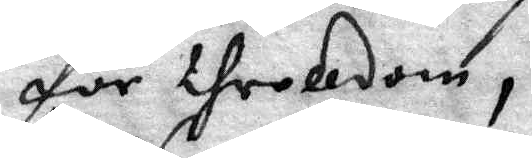för throlldom,
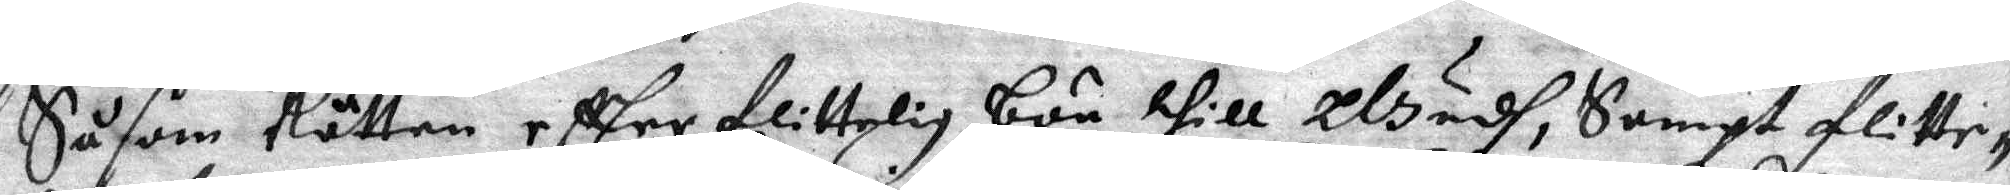Såsom Rätten eftter flittelig bön till Gudh, Sampt flitte¬
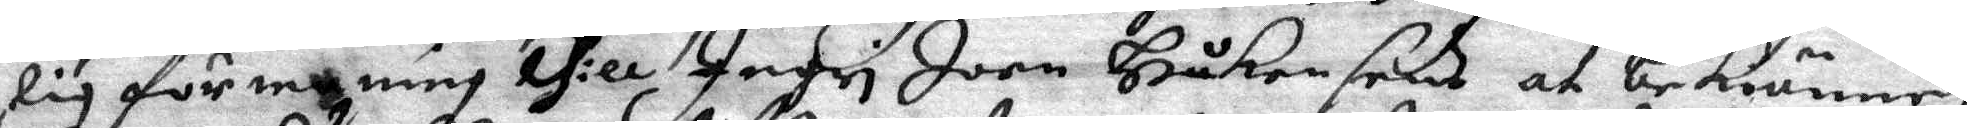lig förmaning thill Ingri Joen Håkensens at bekiänne,
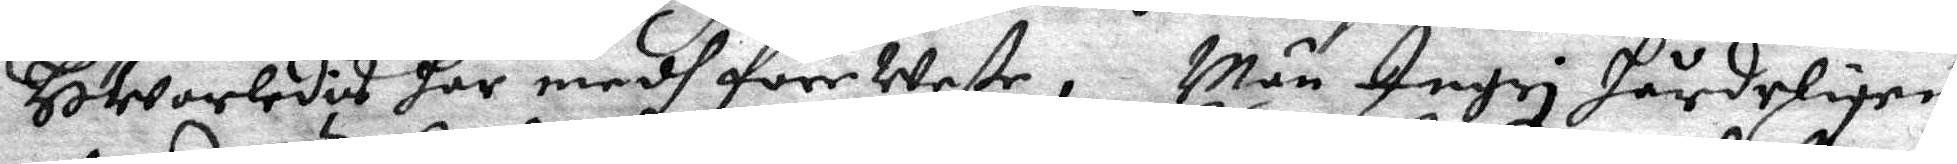HWorledes här medh före Weste, Men Ingri hårdeligen
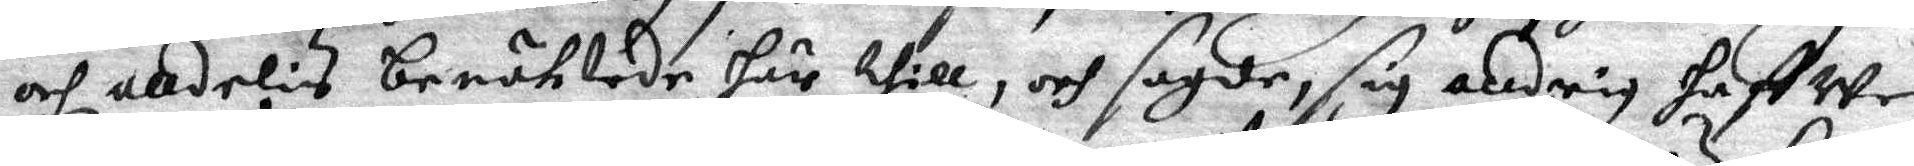och alldeles beröWede här thill, och sagde, sig alldrig haffwe
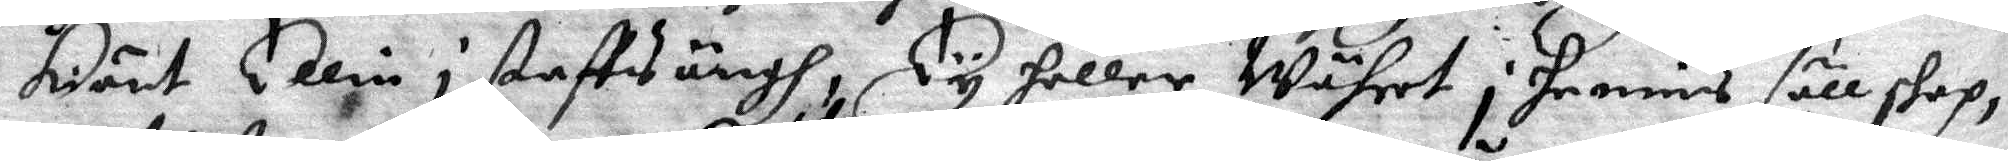kiänt Ellin i staftzängh, Ty heller Währet i hennes sällskap¬
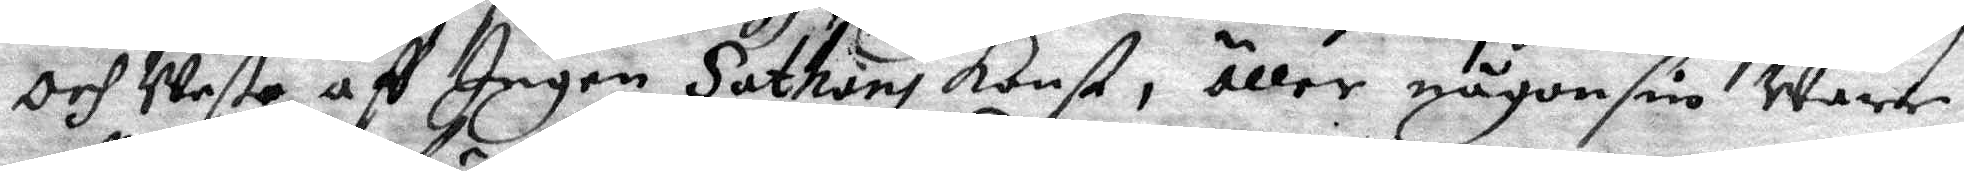och Weste aff Ingen Sathans Konst, eller någonsin ware
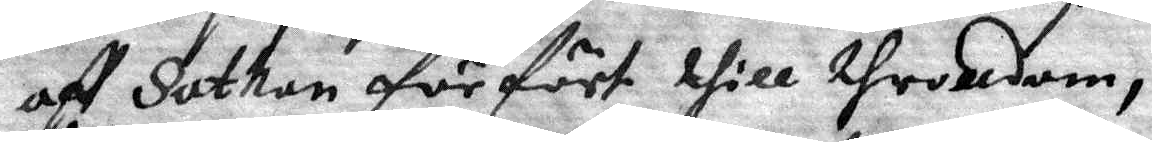aff Sathan förfört thill throlldom,
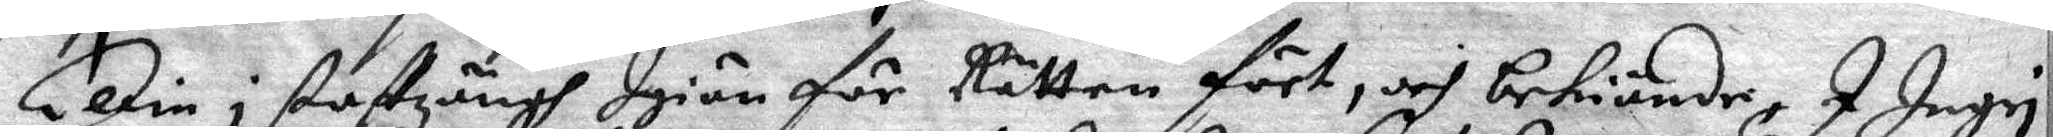Ellin i staftzängh Igiän för Rätten fört, och bekiände, I Ingri
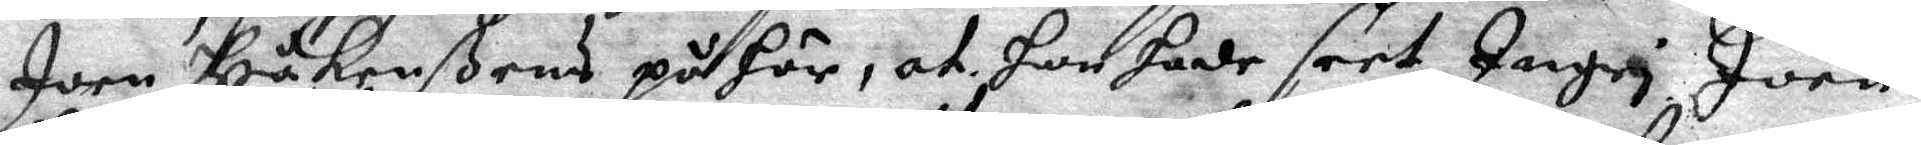Joen Håkenßens på här, at hon hade seet Ingri Joen
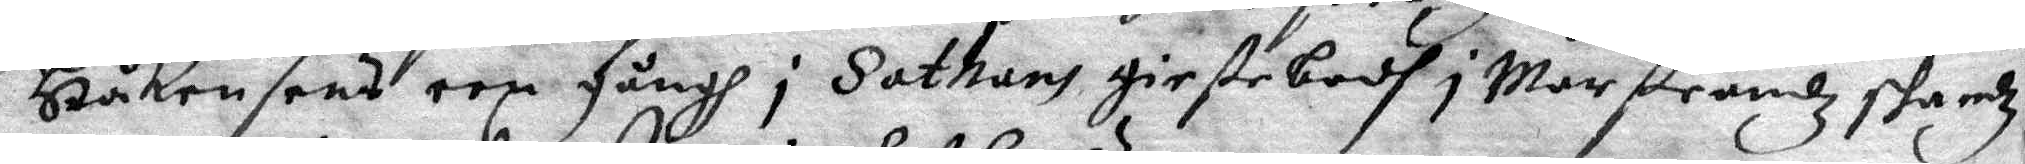Håkensens een gångh i Sathans giestebodh i Marstrandz skandz
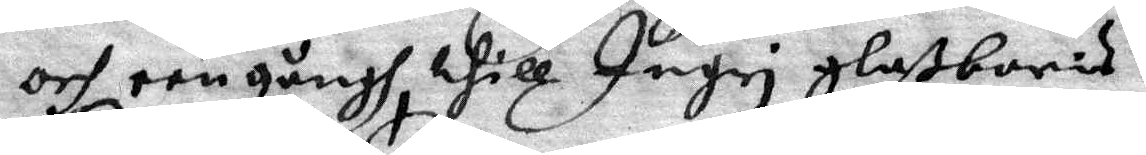och een gångh, thill Ingri glaßbaris
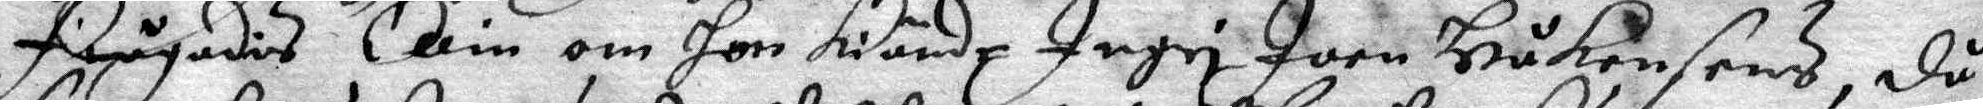Frågades Ellin om hon kiände Ingri Joen Håkensens, då
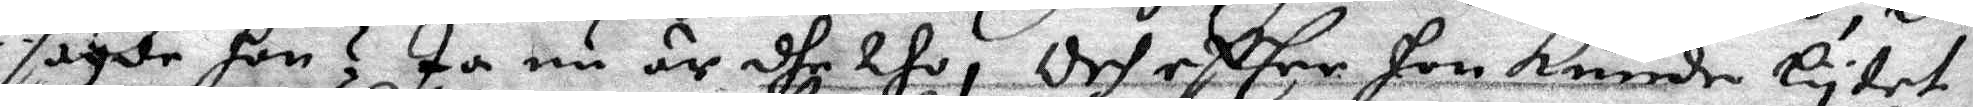sagde hon? Ja nu är dhe tho, Och efter hon kunde lytet
